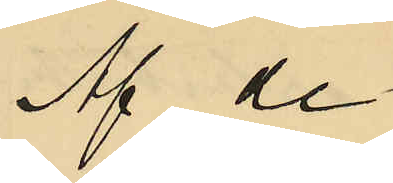Af de
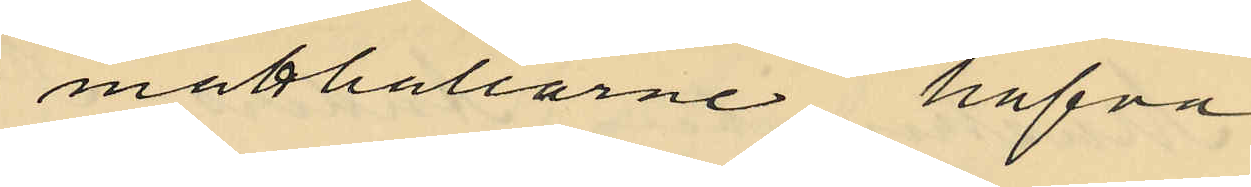matthållarne hafva
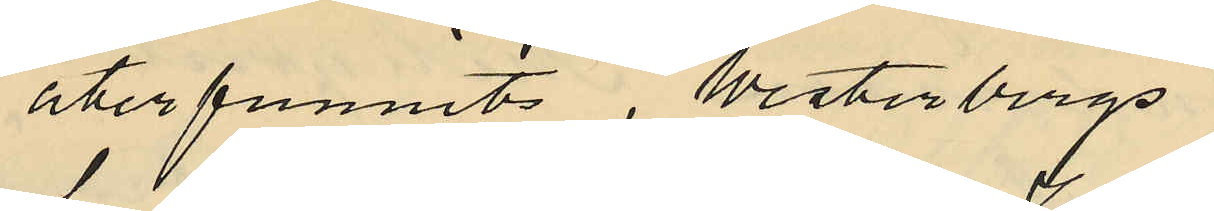återfunnits, Westerbergs
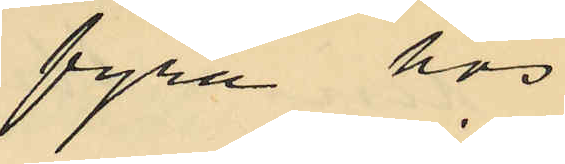fyra hos
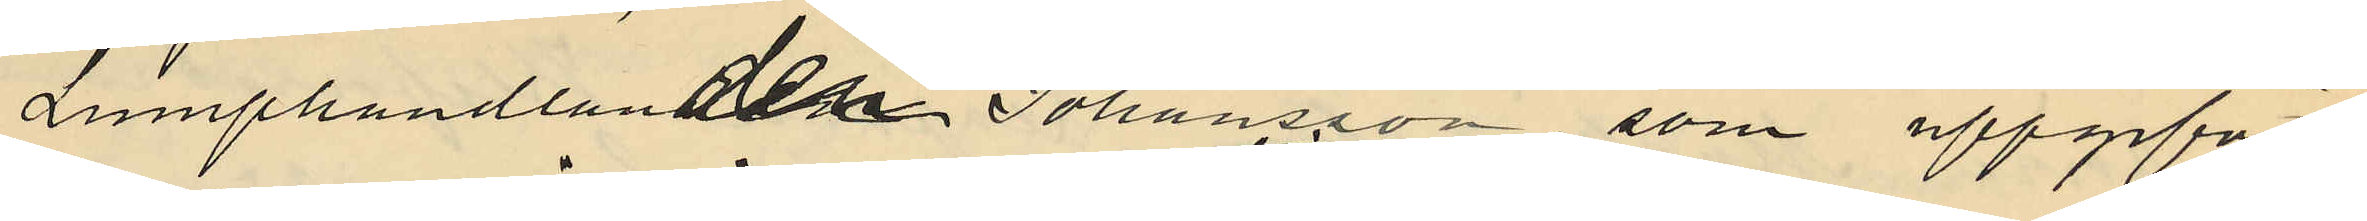Lumphandlanden Johansson, som uppgifvit
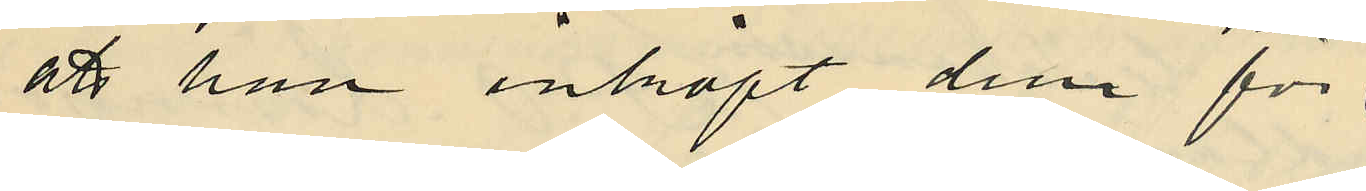att han inköpt dem för
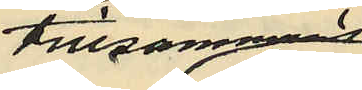tillsammans
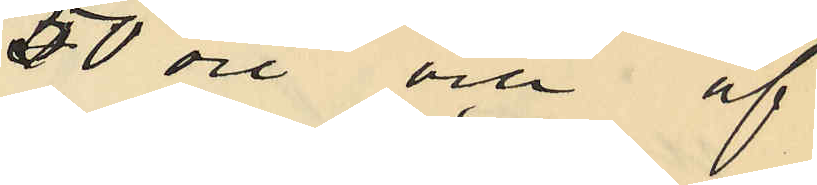50 öre och af
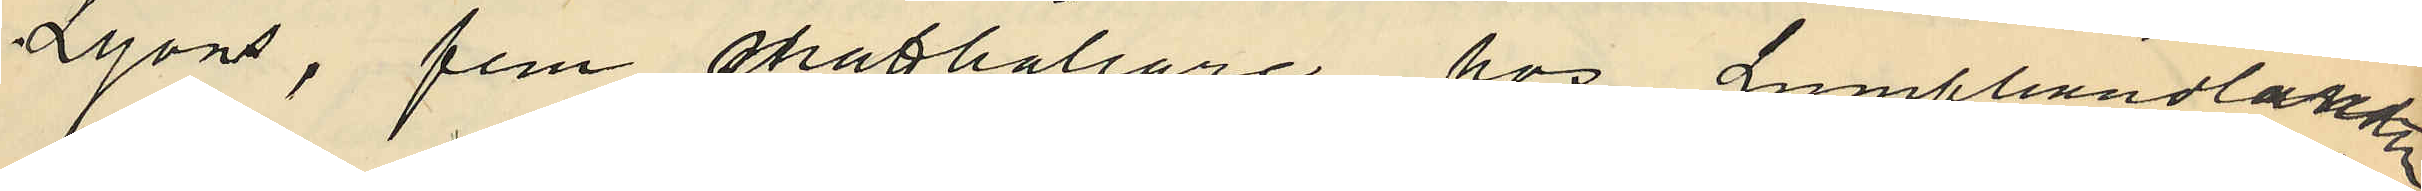Lyons, fem matthållare hos Lumphandlandlanden
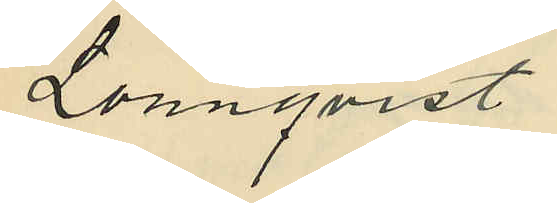Lönnqvist
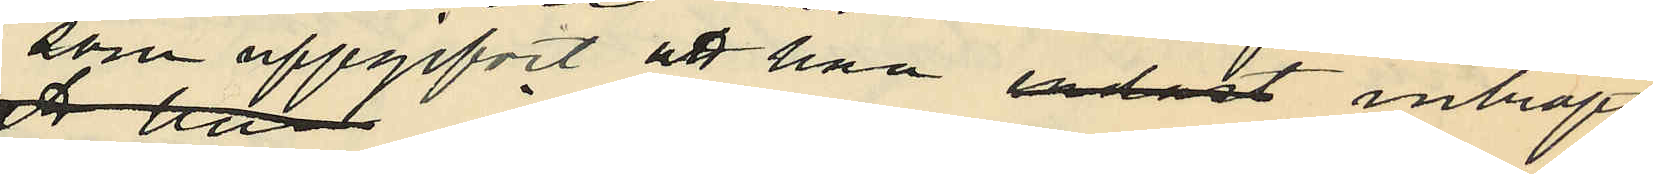som uppgifvit att han endast inköpt
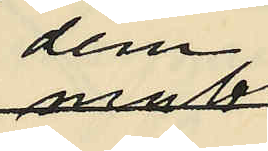dem
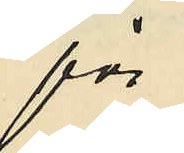för
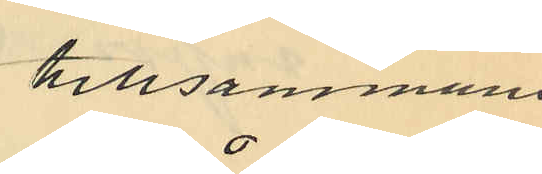tillsammans
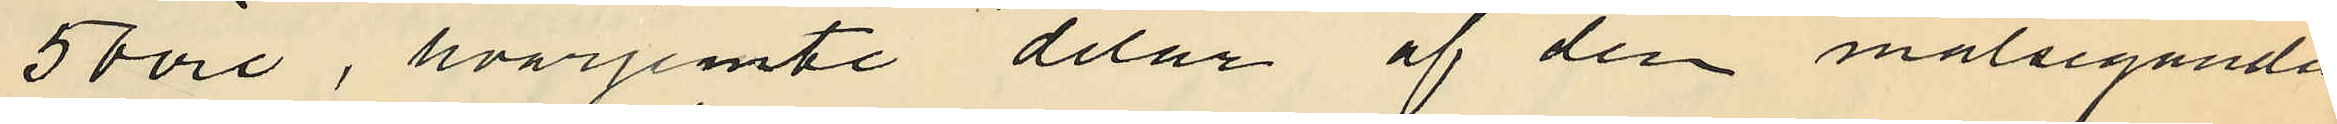50 öre, hvarjemte delar af den målseganden
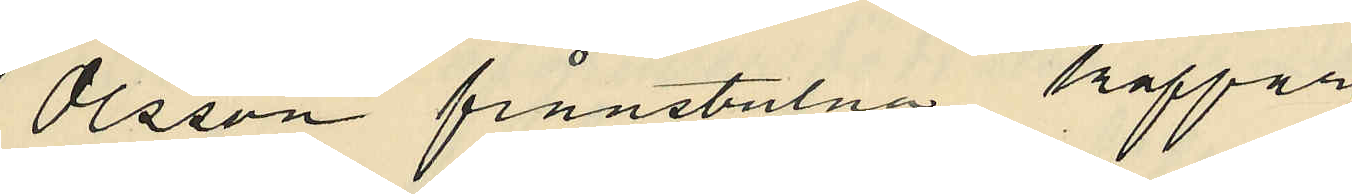Olsson frånstulna koppar¬
